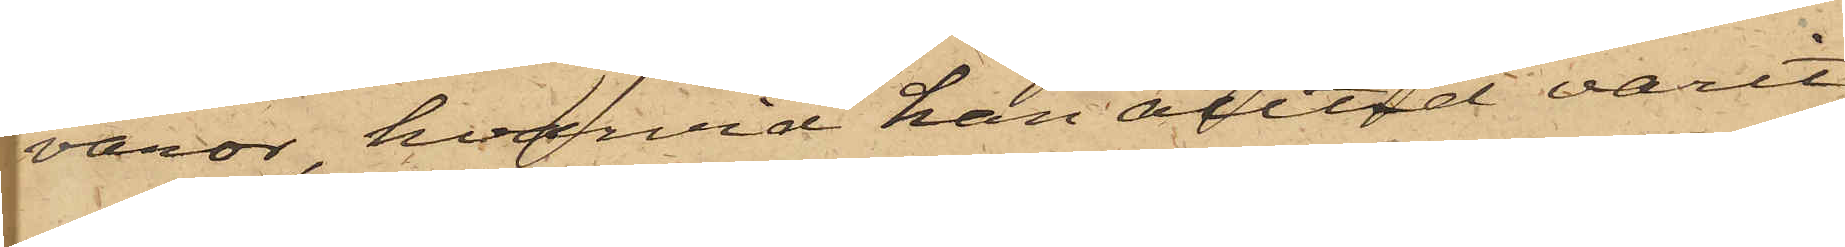varor, hvarvid han alltid varit
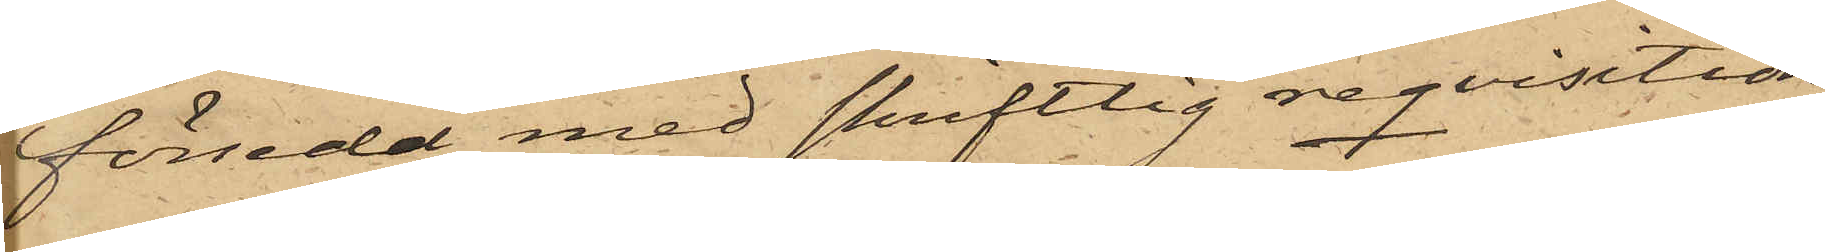försedd med skriftlig reqvisition,
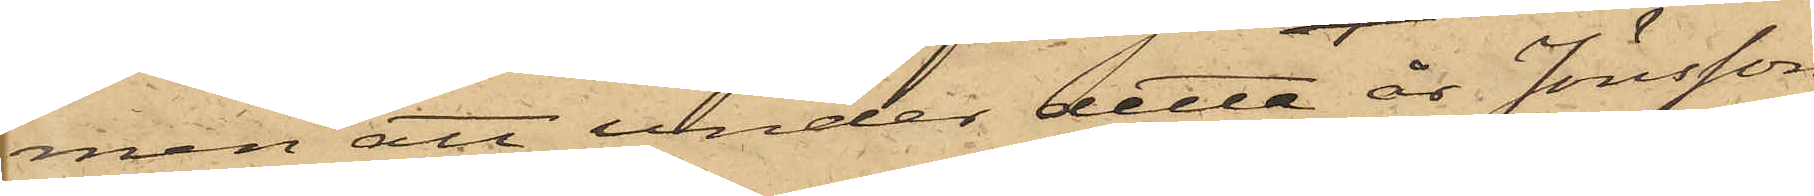men att under detta år Jönsson
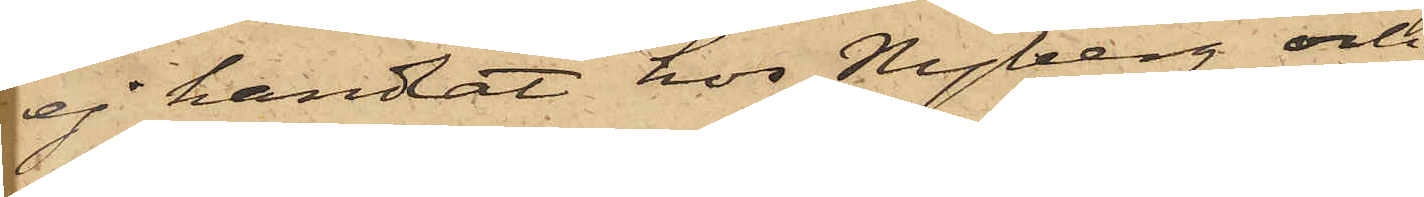ej handlat hos Nyberg och
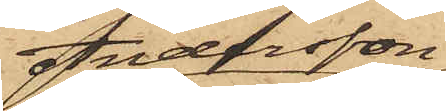Andersson
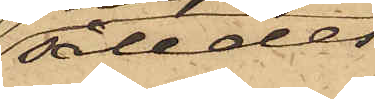således
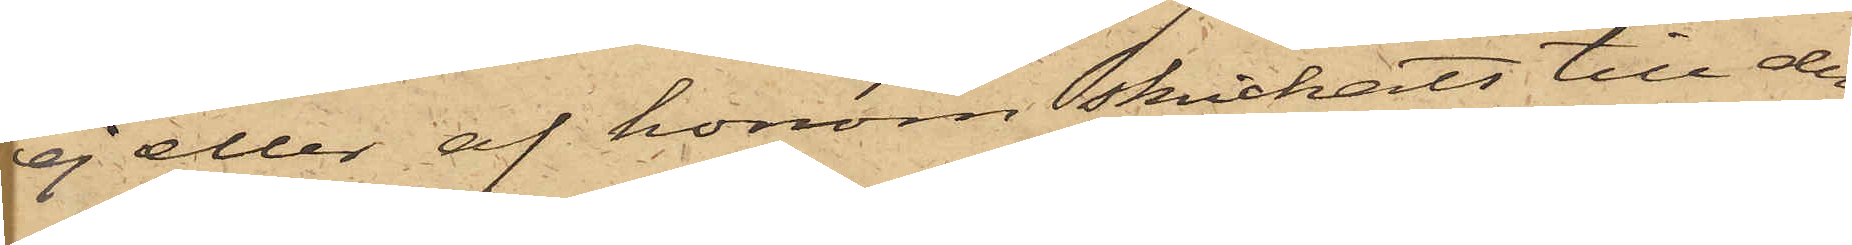ej eller af honom skickats till den¬
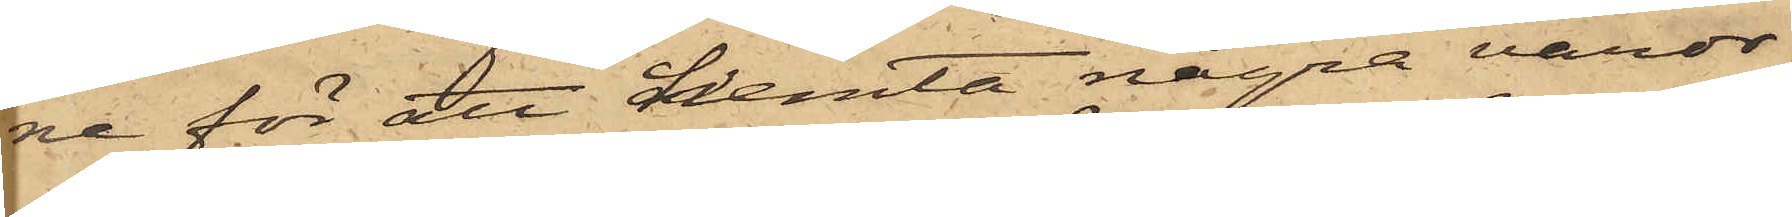ne för att hemta några varor;
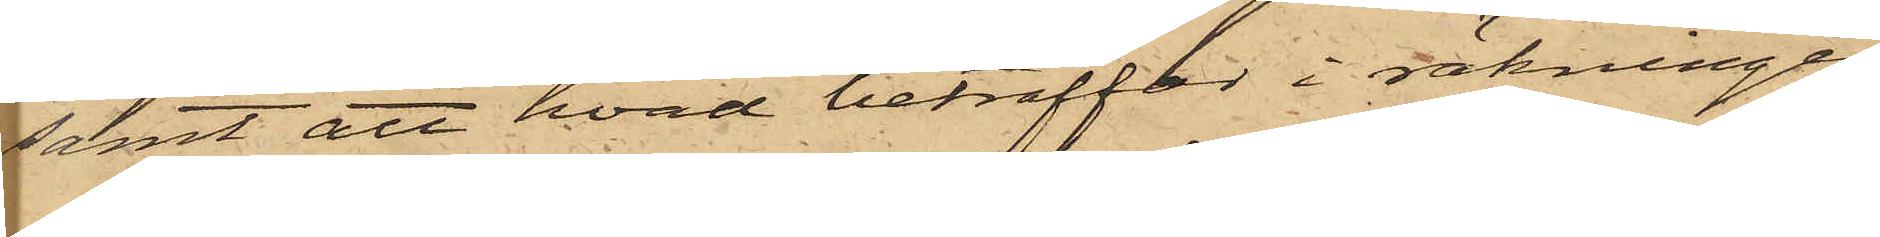samt att hvad beträffar i räkningen
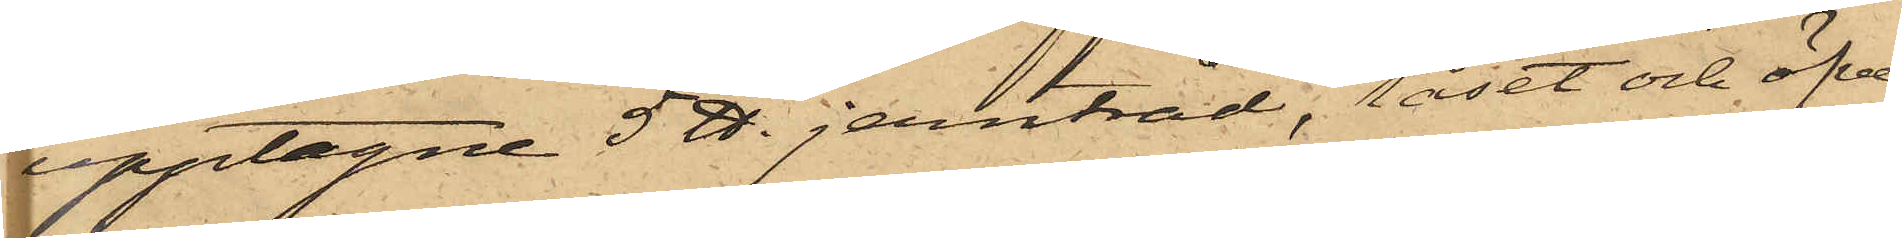upptagne 5 ℔ jerntråd, låset och öfver¬
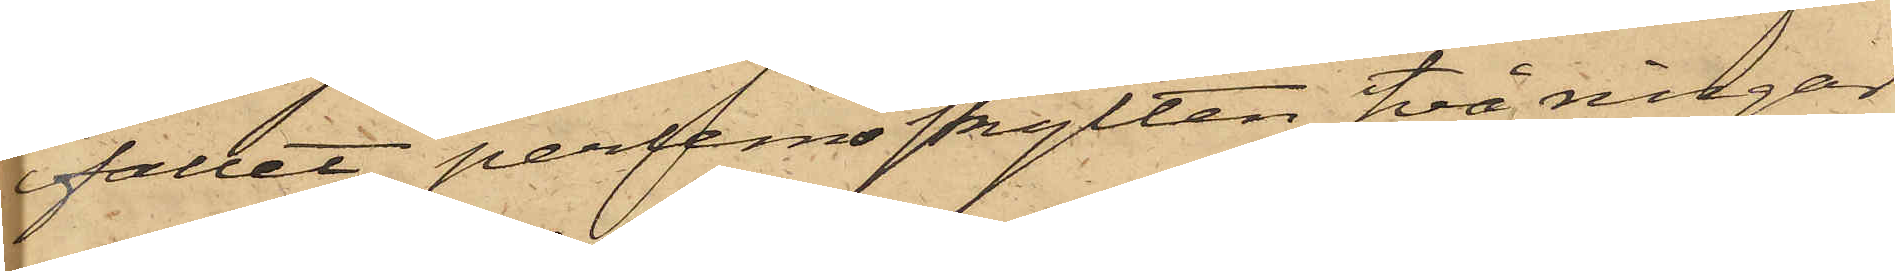fallet, perlemoskylten, två ringar
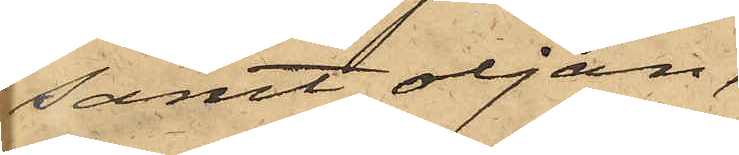samt oljan,
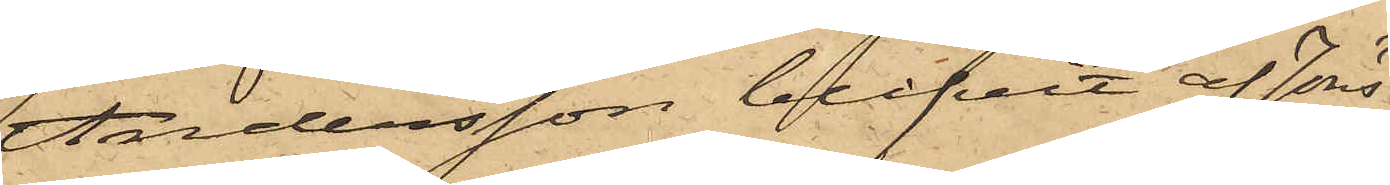Andersson blifvit af Jöns¬
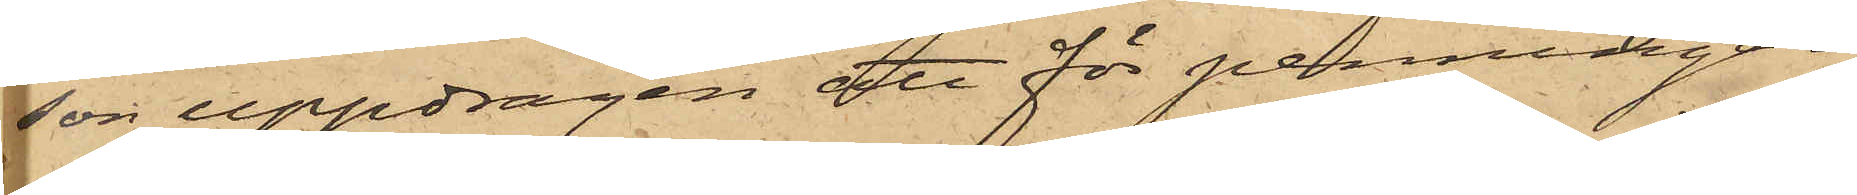son uppdragen att för penningar,
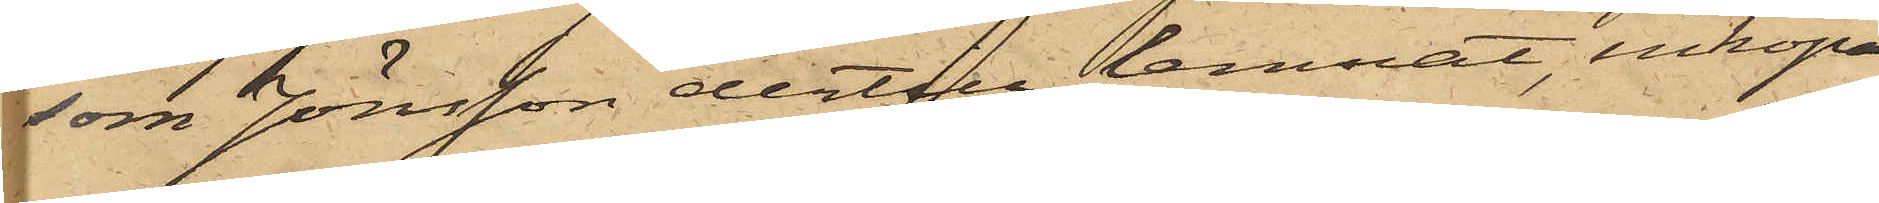som Jönsson dertill lemnat, inköpa
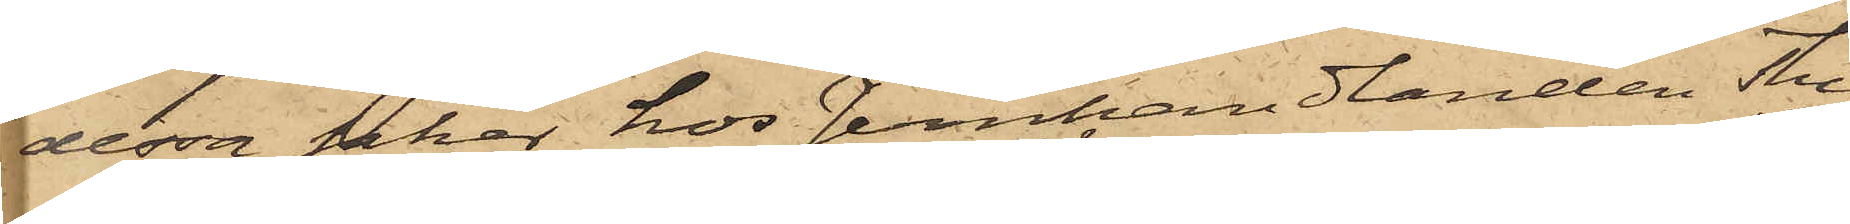dessa saker hos Jernhandlanden Thul¬
